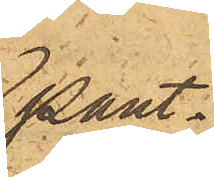pant¬
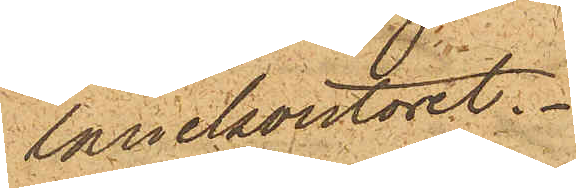lånekontoret.
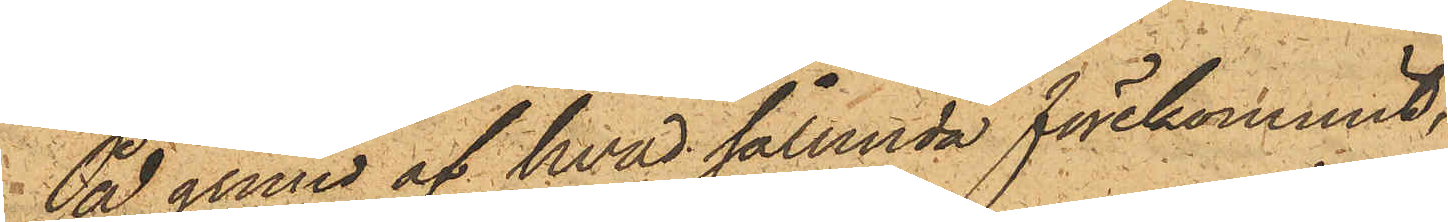På grund af hvad sålunda förekommit,
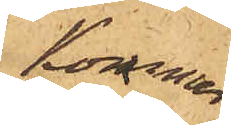kommer
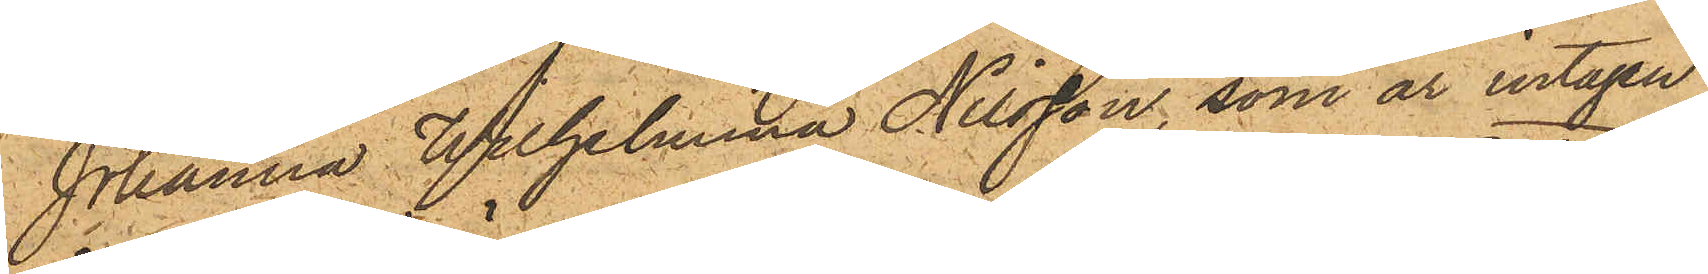Johanna Wilhelmina Nilsson, som är intagen
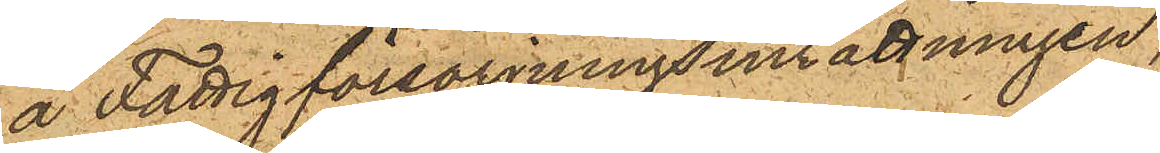å Fattigförsörjningsinrättningen,
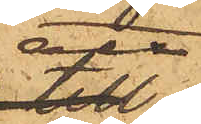att
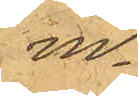in¬
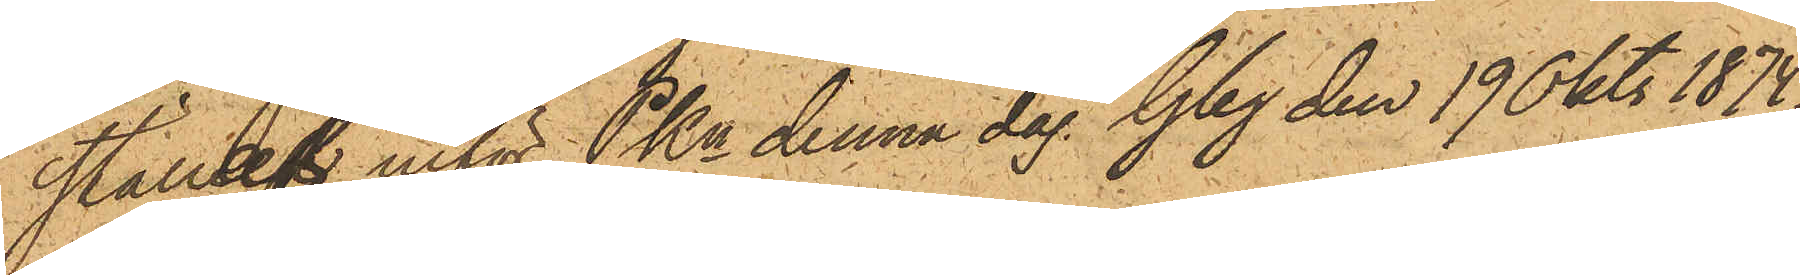ställas inför PKn denna dag. Gbg den 19 Okt. 1874.
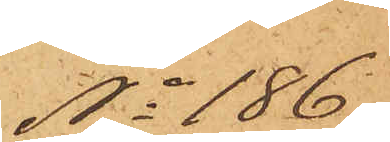No 186
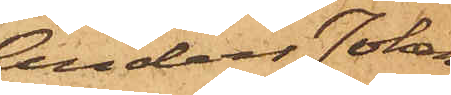Anders Johan
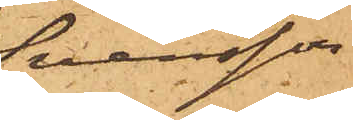Svensson
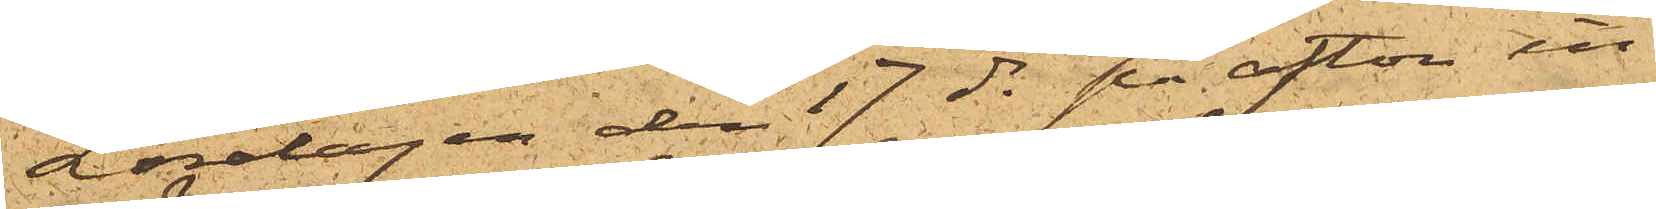Lördagen den 17 ds på afton in¬
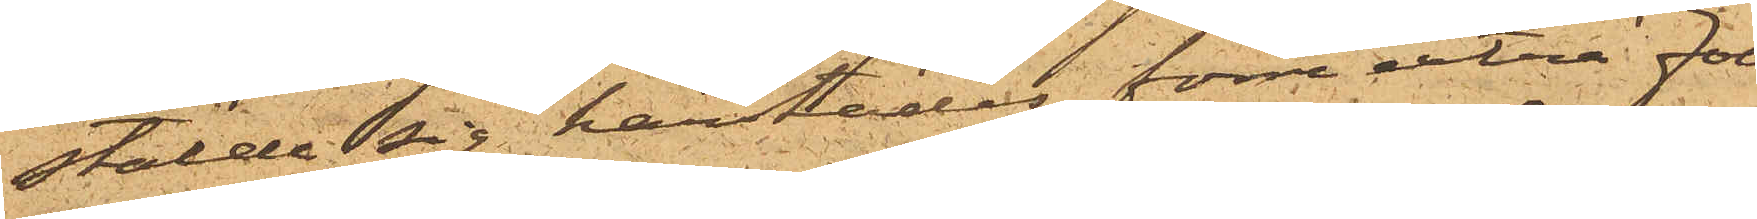stälde sig härstädes förre extra folk¬
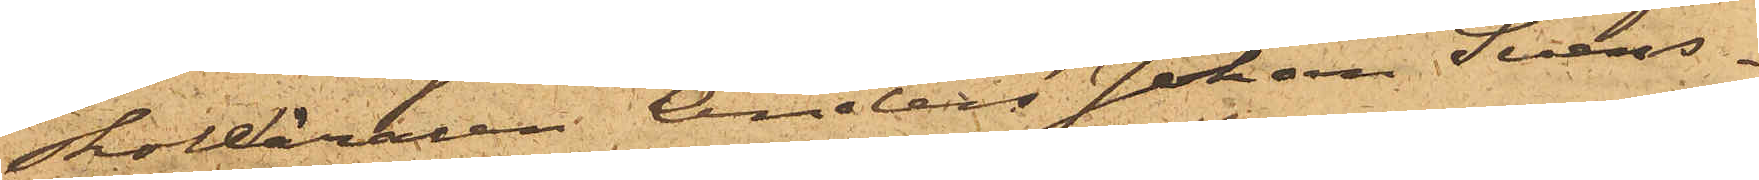skolläraren Anders Johan Svens¬
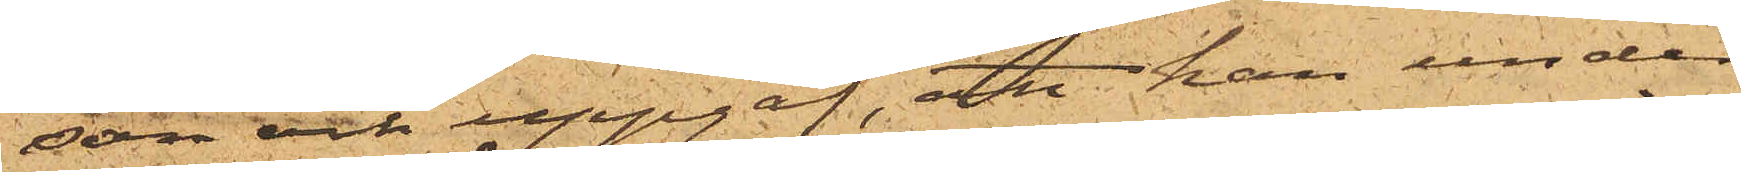son och uppgaf, att han under
